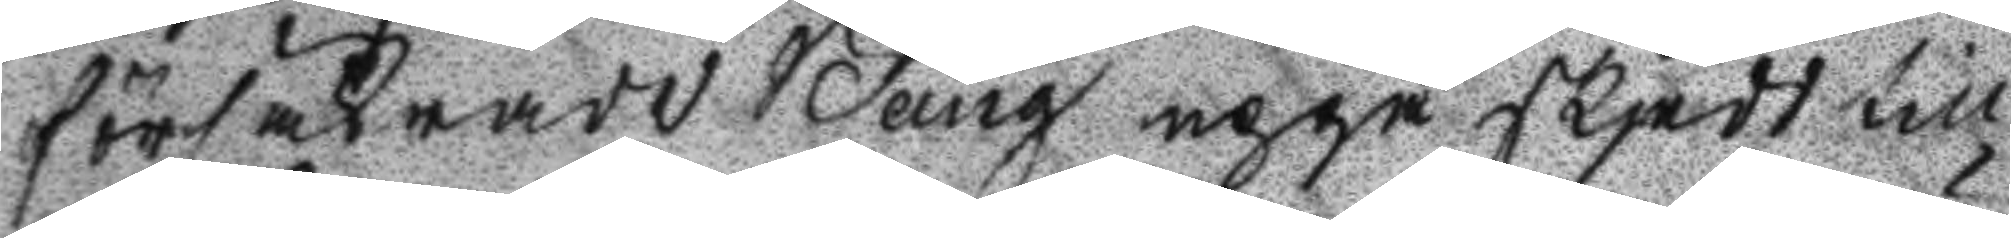försäkrade Bång uppå skjedd till
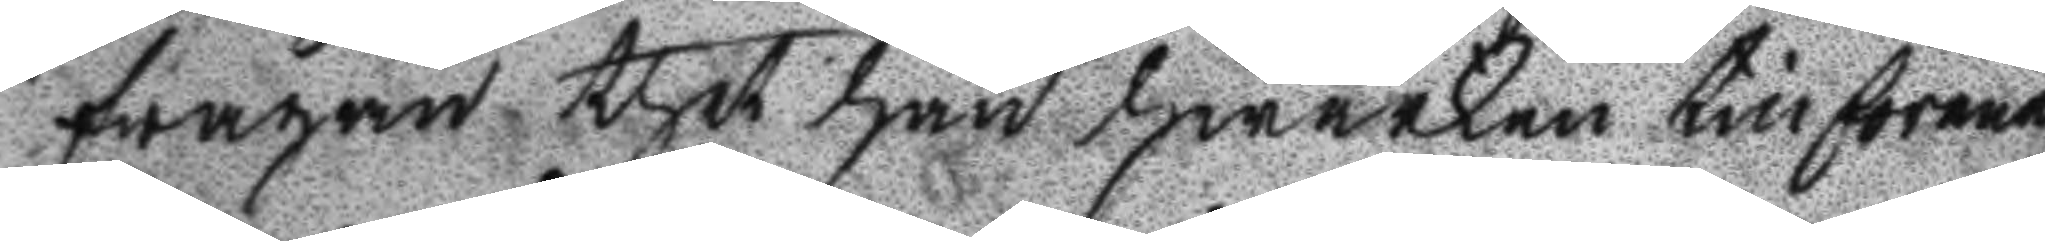frågan thet han hwarken tillförene
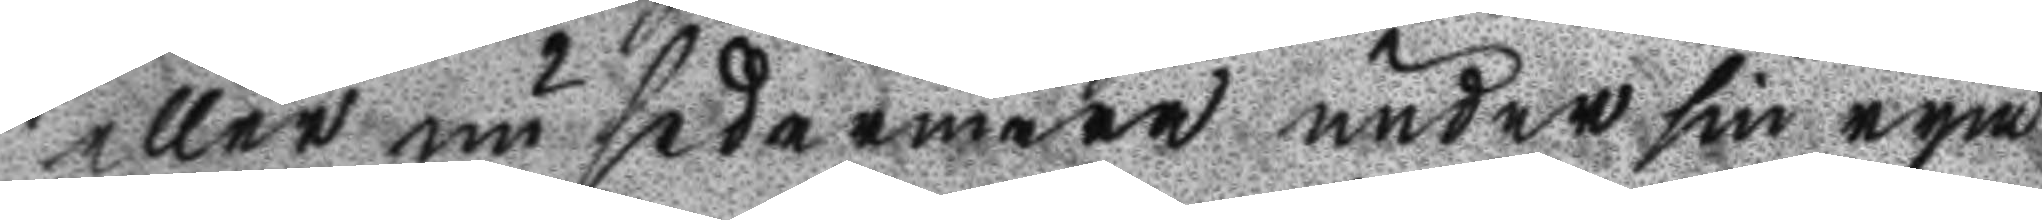eller nu sedermera under sin rym
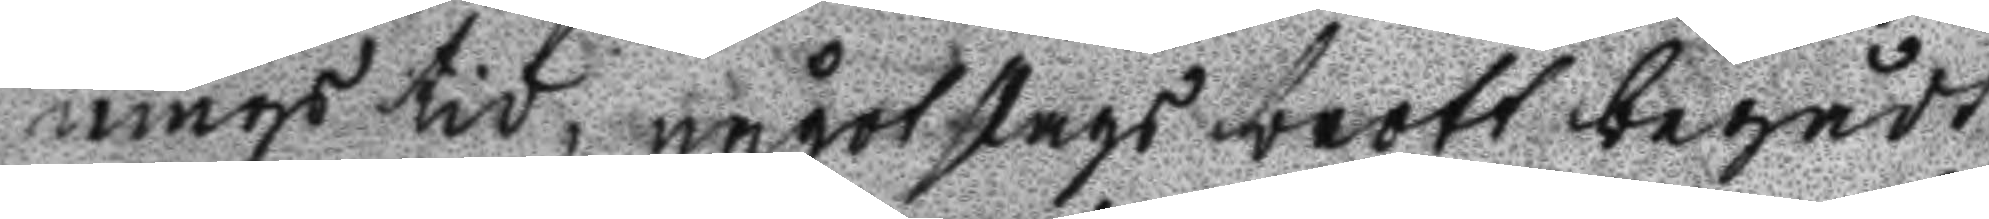mings tid, något slags brott begådt,
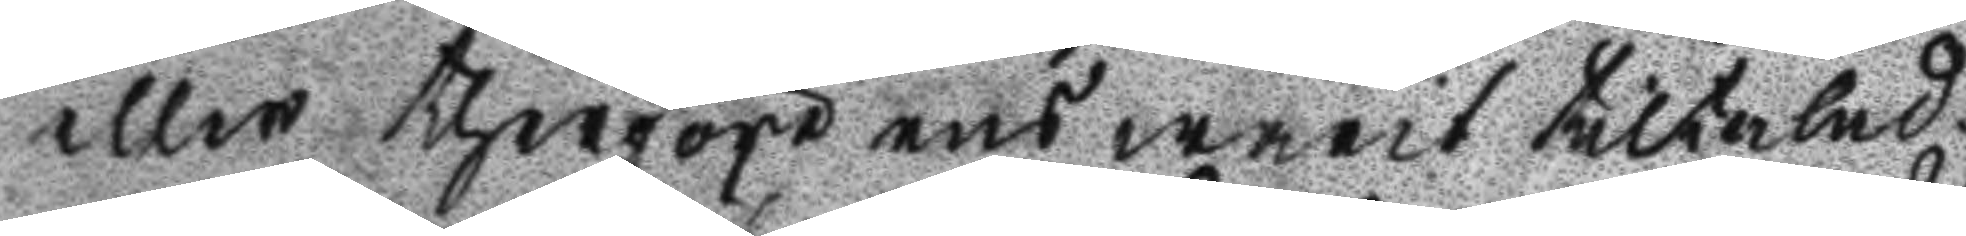eller therföre ens warit tiltalad.
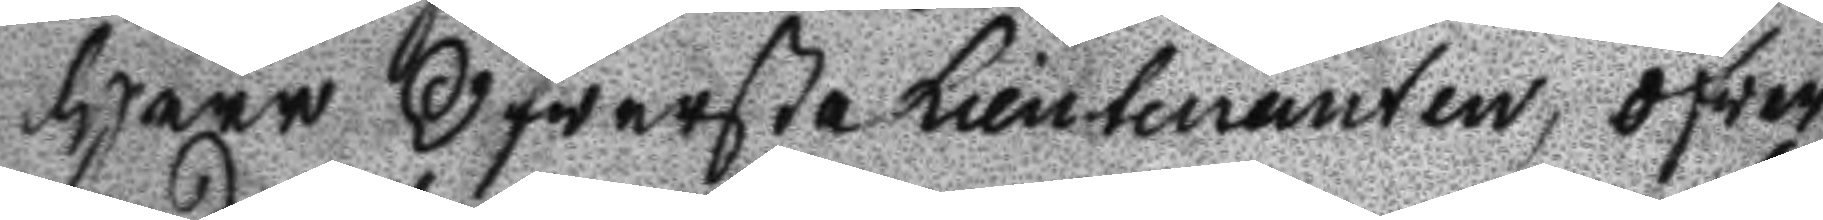Herr Öfwerste Lieutenanten, öfver
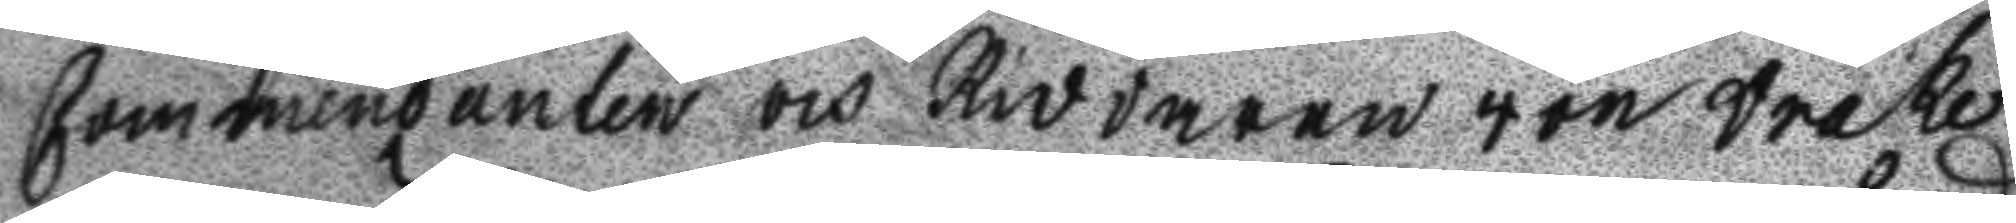Commendanten och Riddaren von Drake
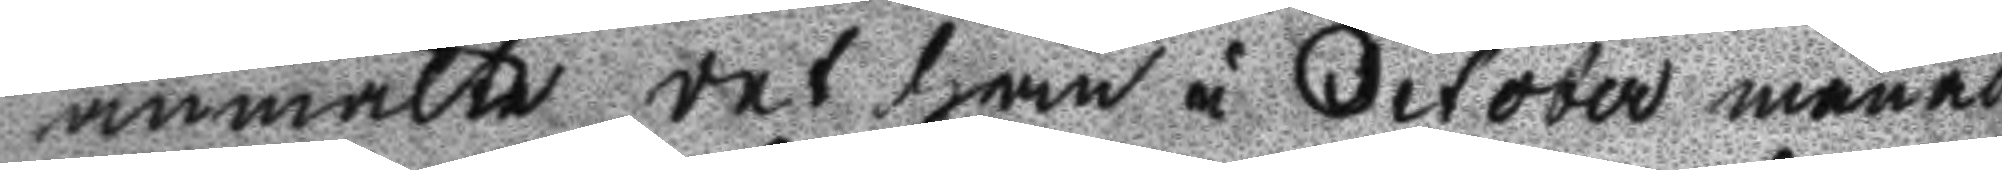anmälte det han i October månad
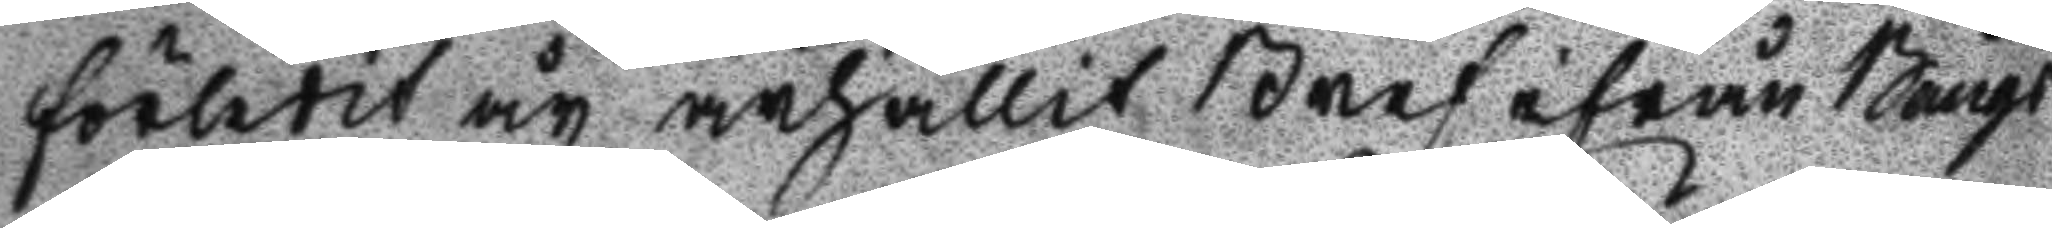förlidit år ärhållit Bref ifrån Bångs
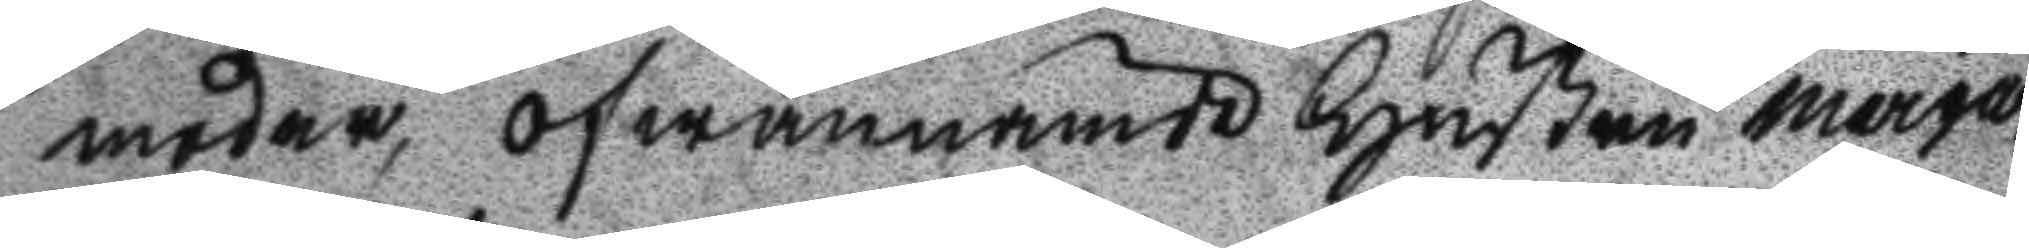moder, ofwannämde Hustru Marga¬
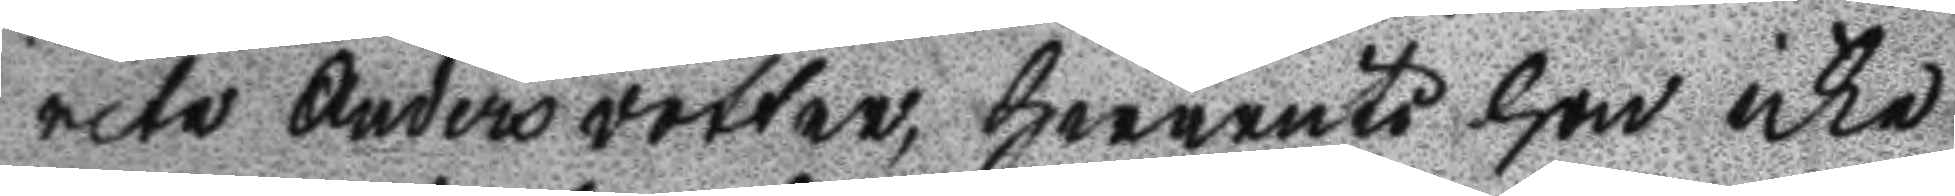reta Andersdotter, hwaruti hon icke
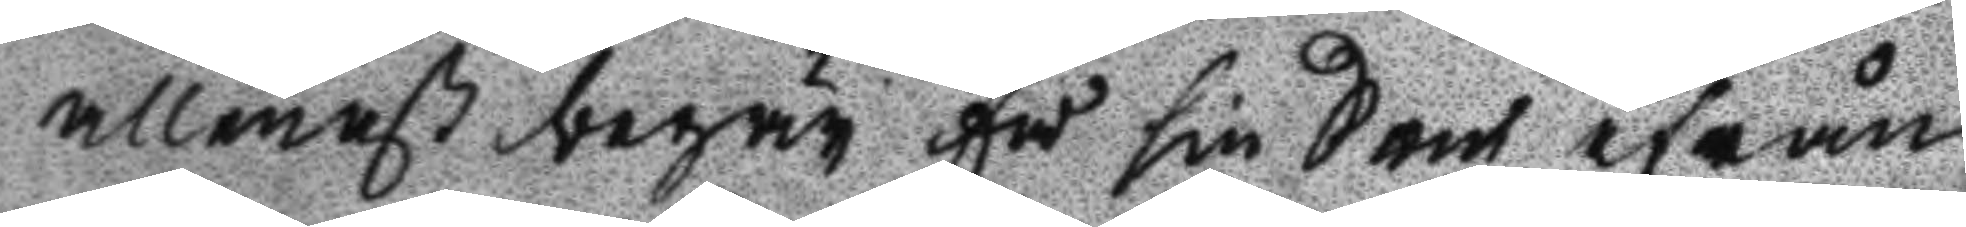allenast begär få sin son ifrån
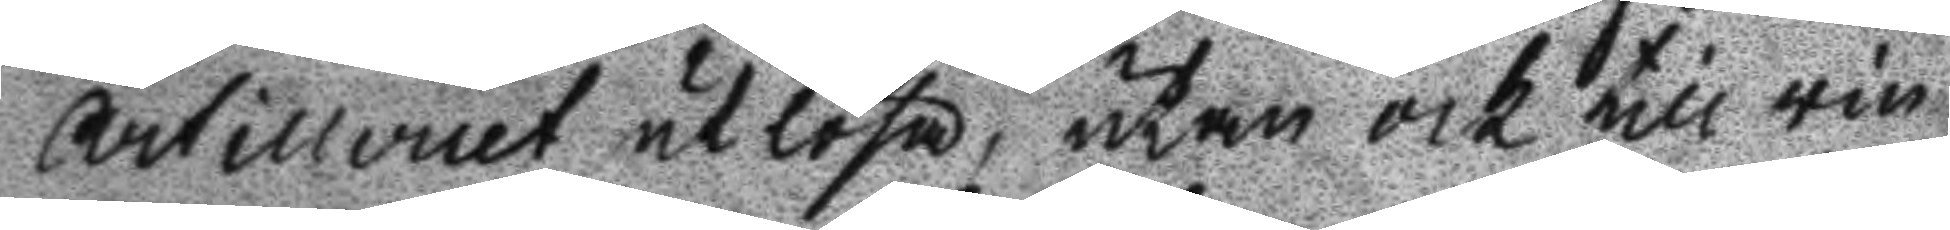Artilleriet utlösa, utan ock till vin¬
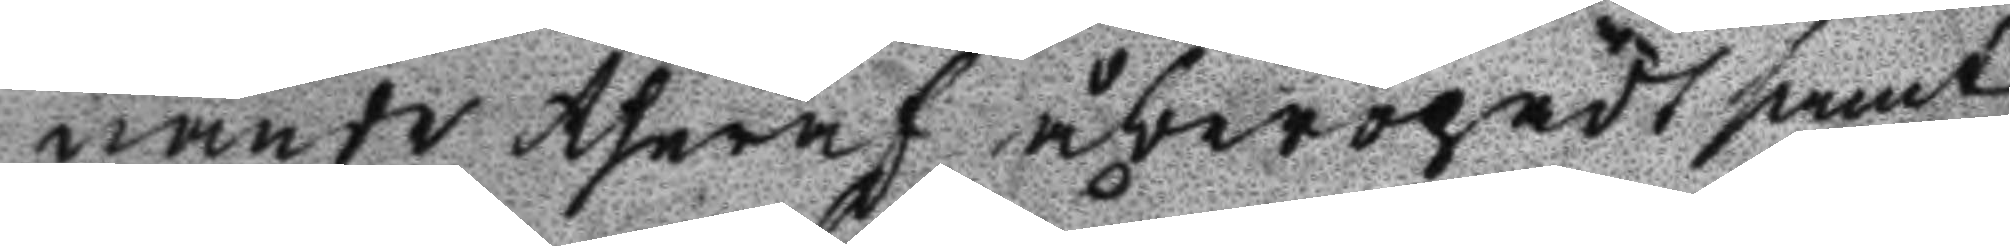nande theraf åberopadt samt
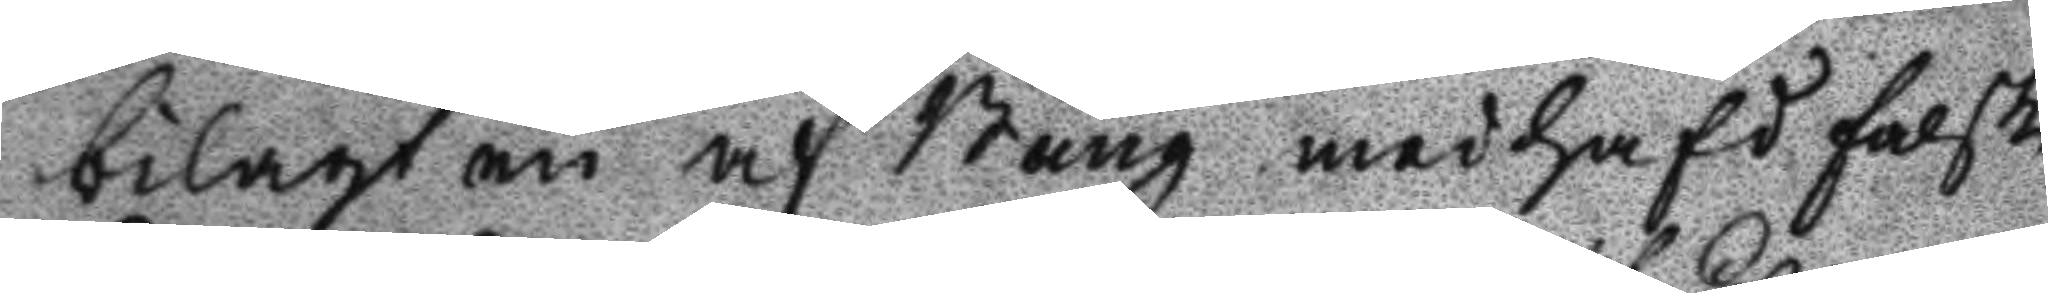bilagt en af Bång medhafd falsk
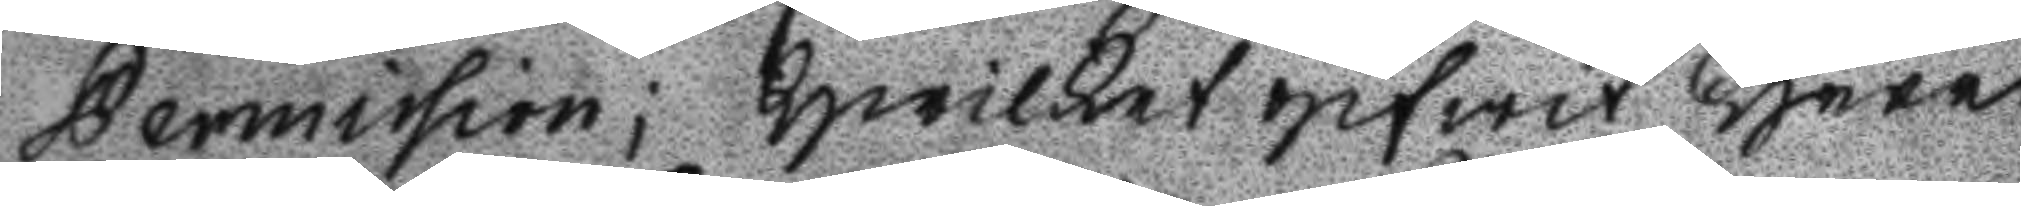Permission; hwilket gifwit Herr
